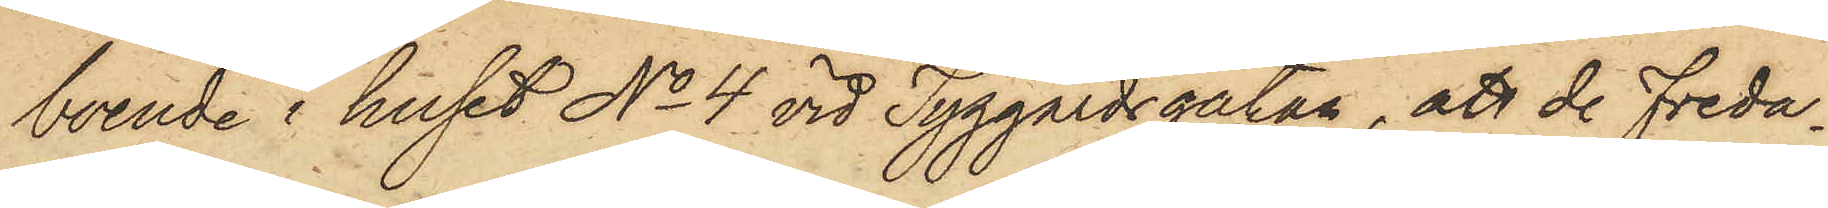boende i huset No 4 vid Tyggårdsgatan, att de Freda¬
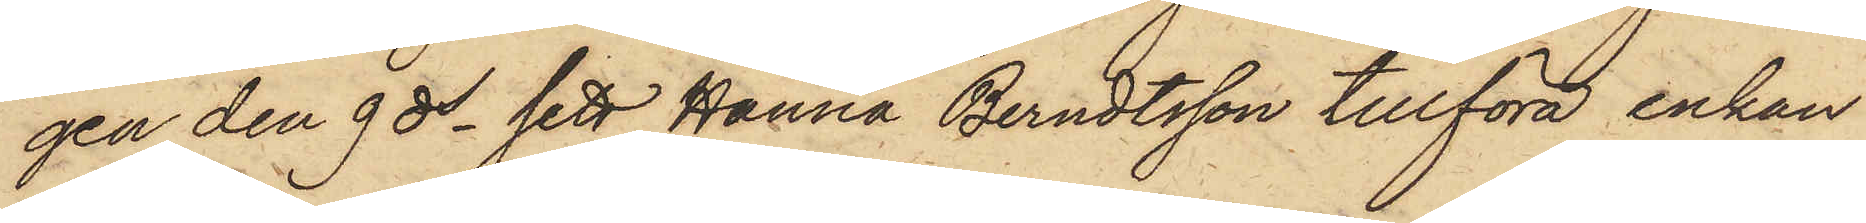gen den 9 ds sett Hanna Berndtsson tillföra enkan
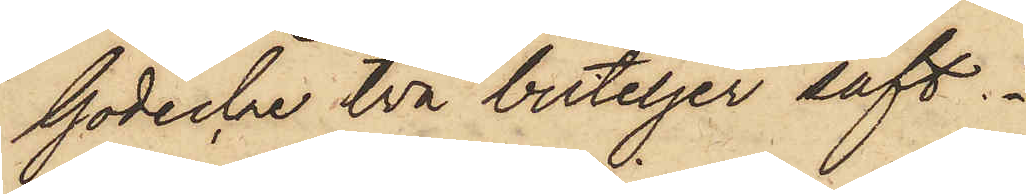Gödecke två buteljer saft.
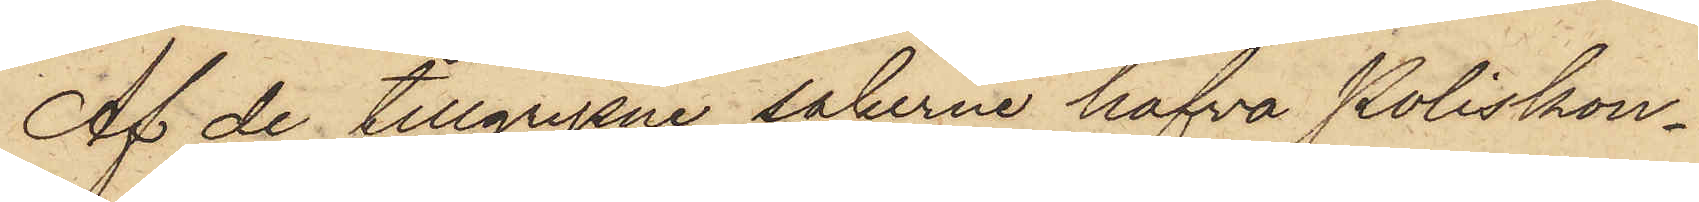Af de tillgripne sakerne hafva Poliskon¬
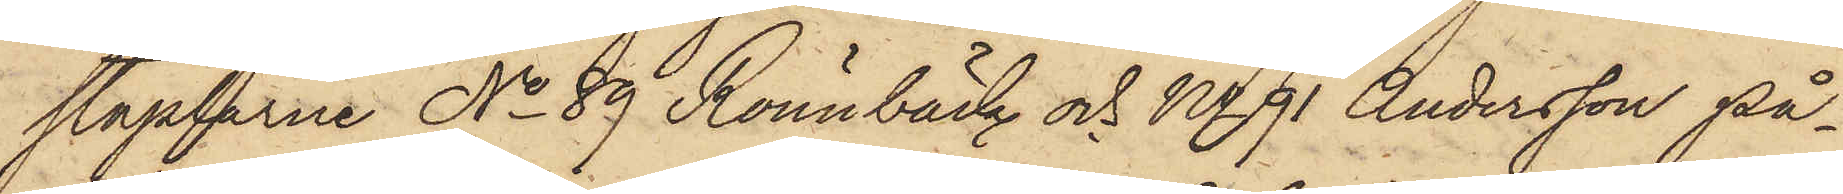staplarne No 89 Rönnbäck och No 91 Andersson på¬
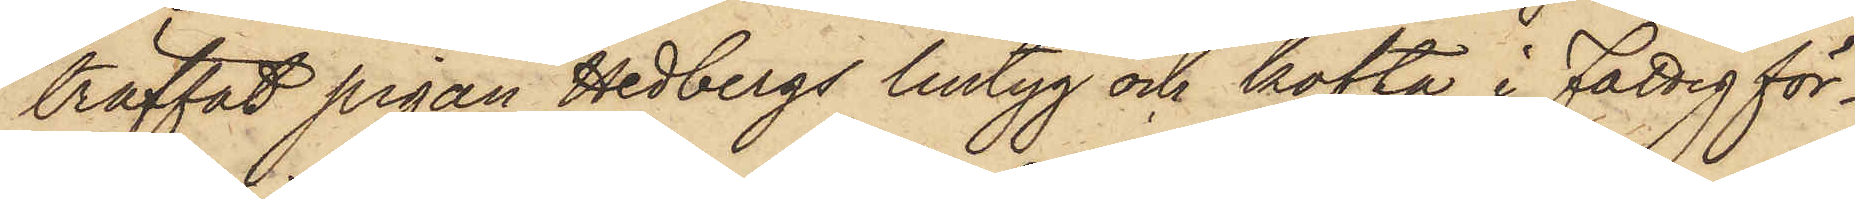träffat pigan Hedbergs lintyg och kofta i Fattigför¬
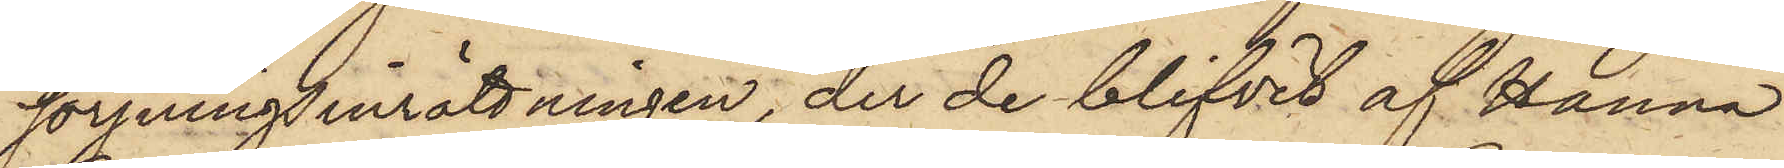sörjningsinrättningen, der de blifvit af Hanna
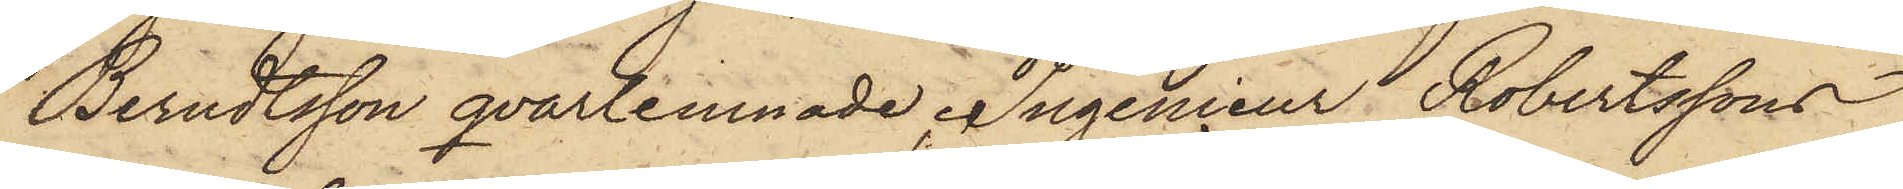Berndtsson qvarlemnade, Ingenieur Robertssons
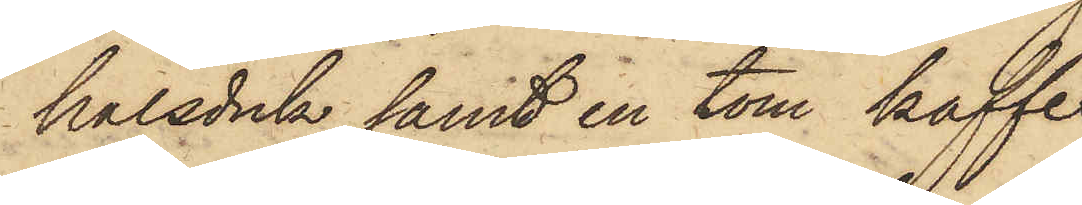halsduk samt en tom kaffe¬
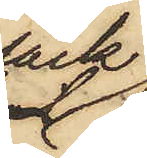säck
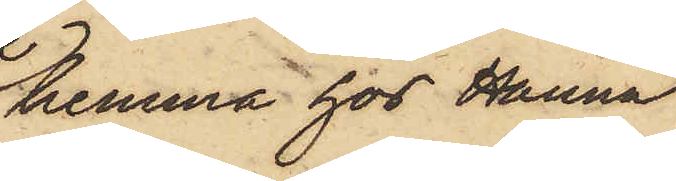hemma hos Hanna
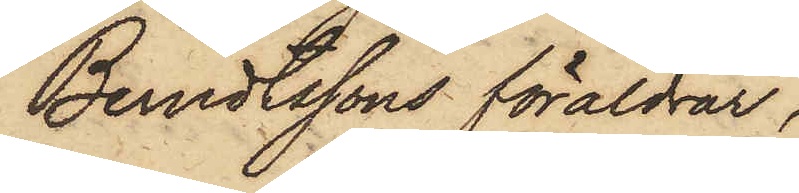Berndtssons föräldrar;
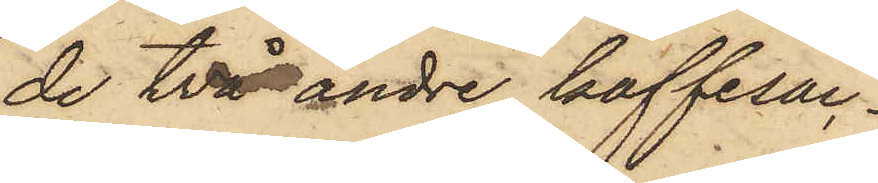de två andre kaffesäc¬
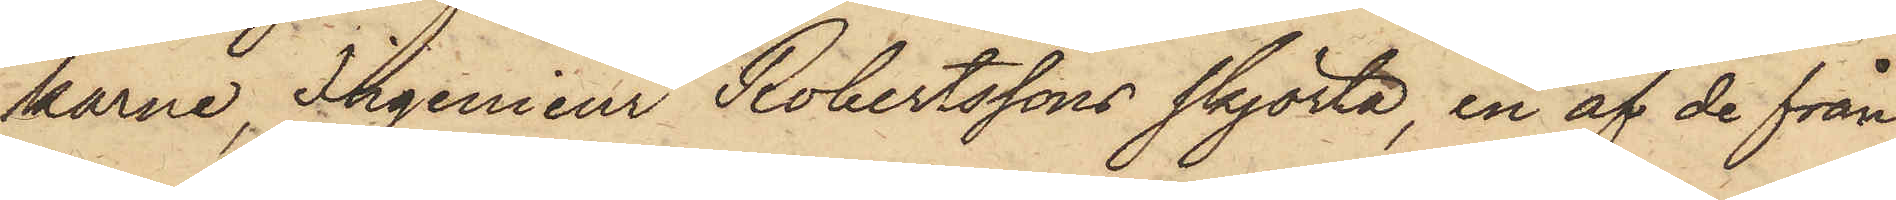karne, Ingenieur Robertssons skjorta, en af de från
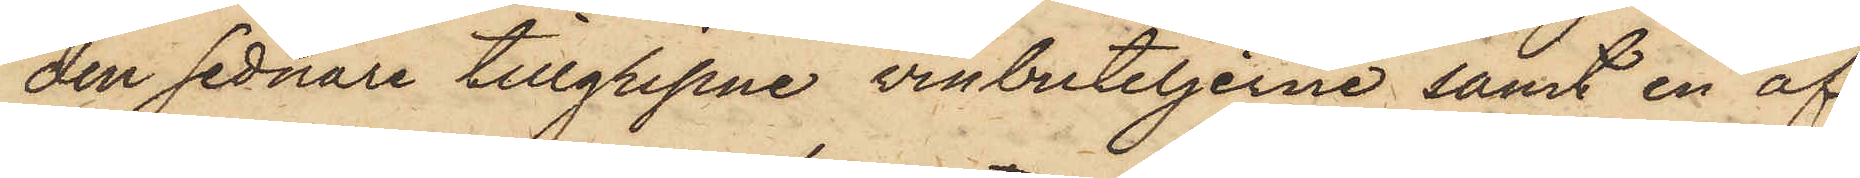den sednare tillgripne vinbuteljerne samt en af
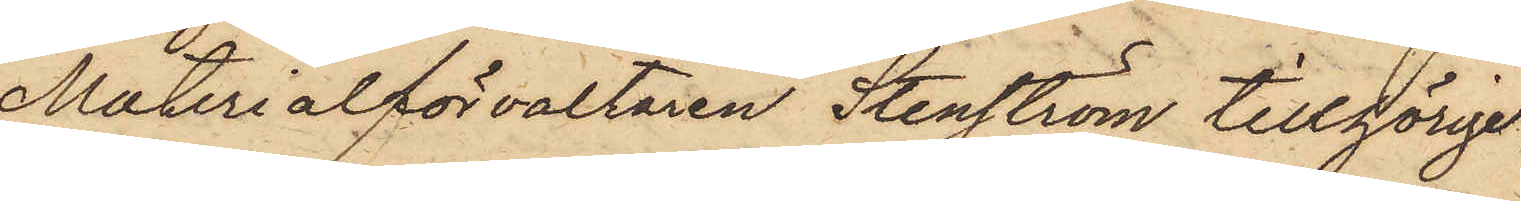Materialförvaltaren Stenström tillhörige
